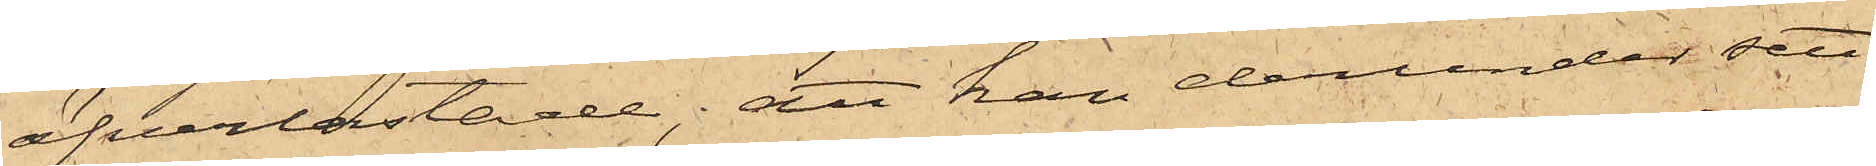öfverlastade; att han derunder sett
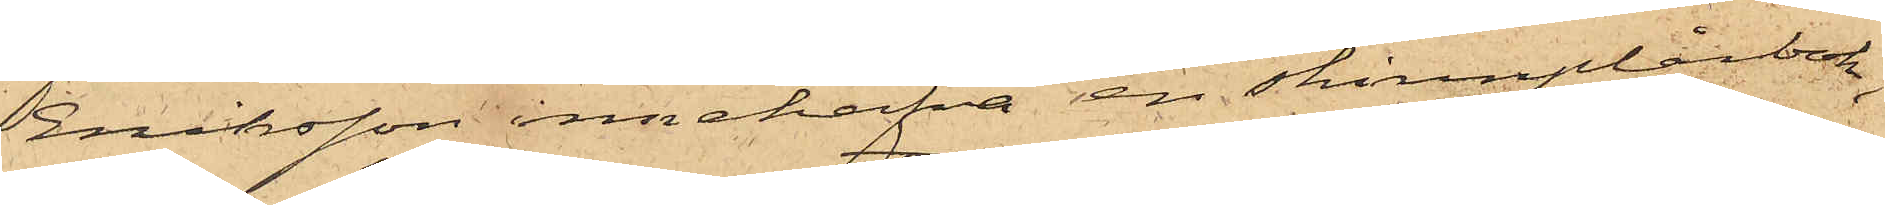Eriksson innehafva en skinnplånbok,
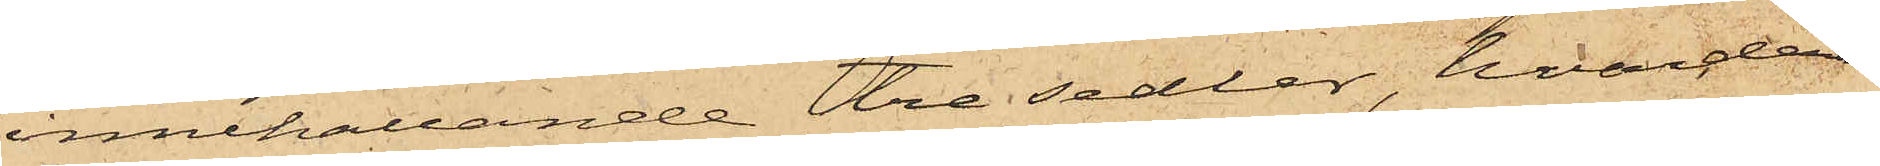innehållande tre sedlar, hvardera
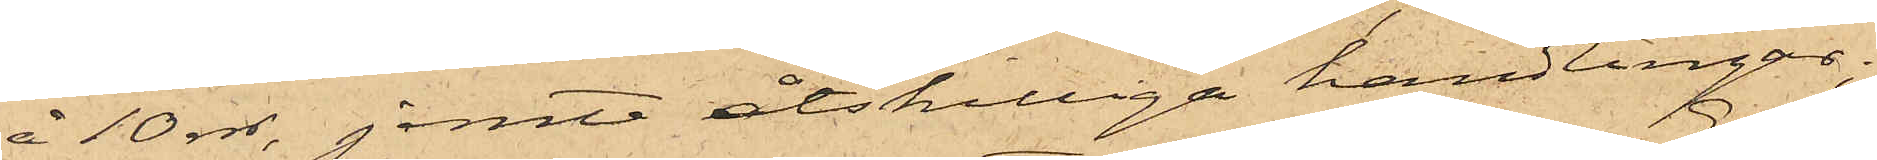å 10 rdr, jemte åtskilliga handlingar;
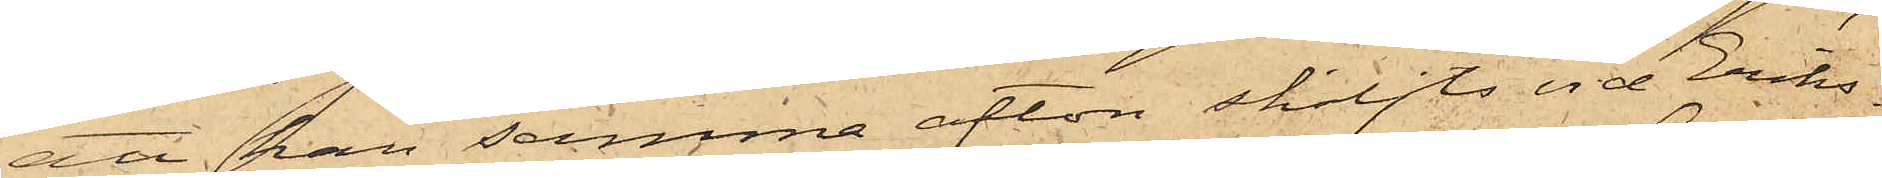att han samma afton skiljts vid Eriks¬
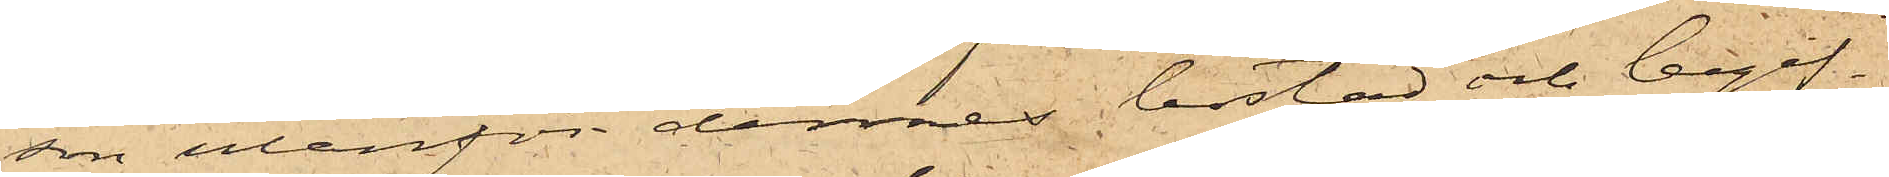son utanför dennes bostad och begif¬
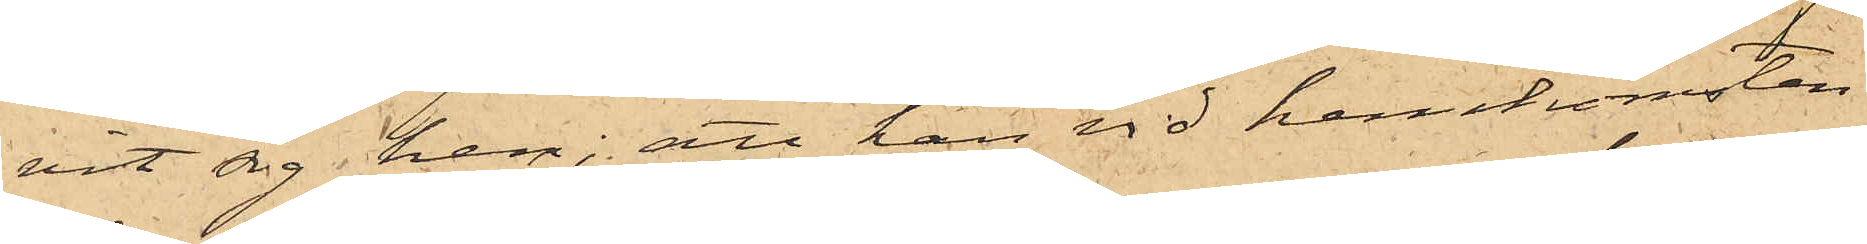vit sig hem; att han vid hemkomsten
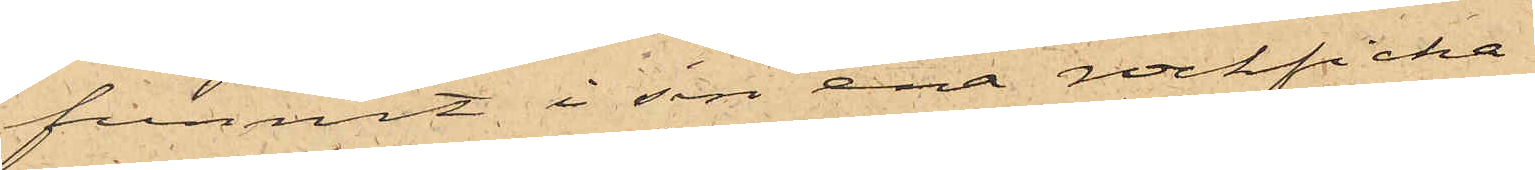funnit i sin ena rockficka
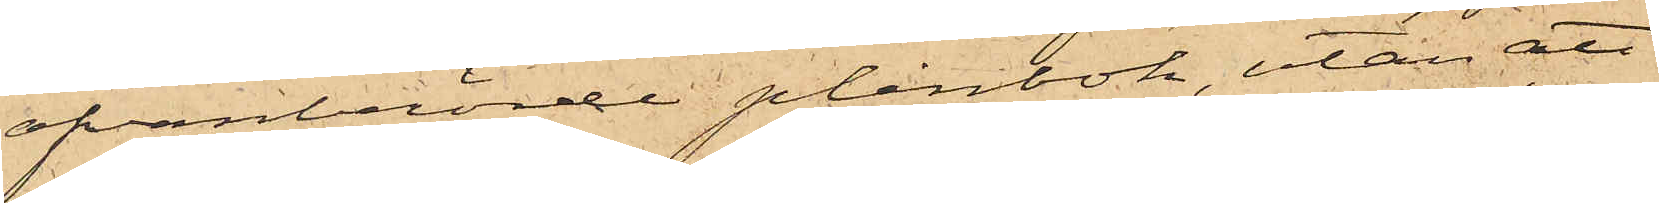ofvanberörde plånbok, utan att
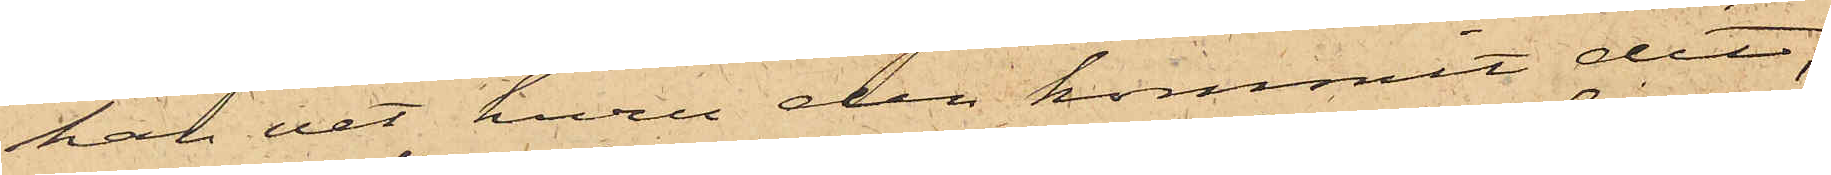han vet huru den kommit dit;
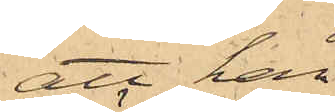att han
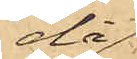då
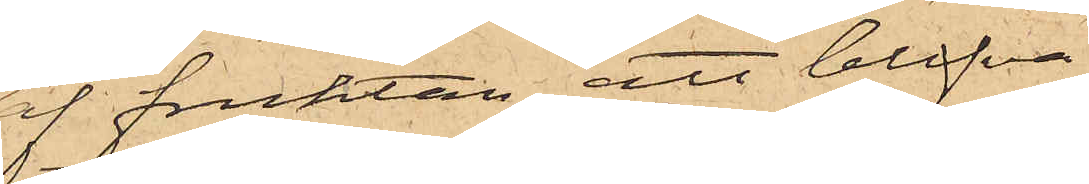af fruktan att blifva
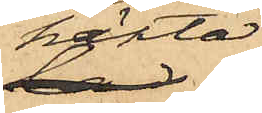häktad
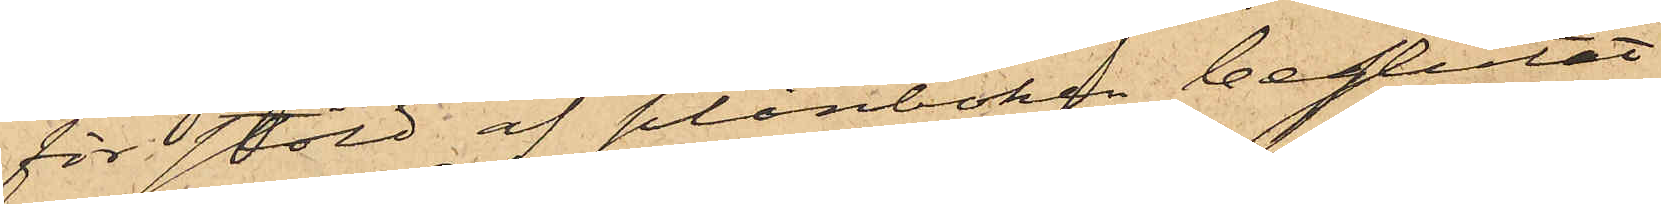för stöld af plånboken beslutat
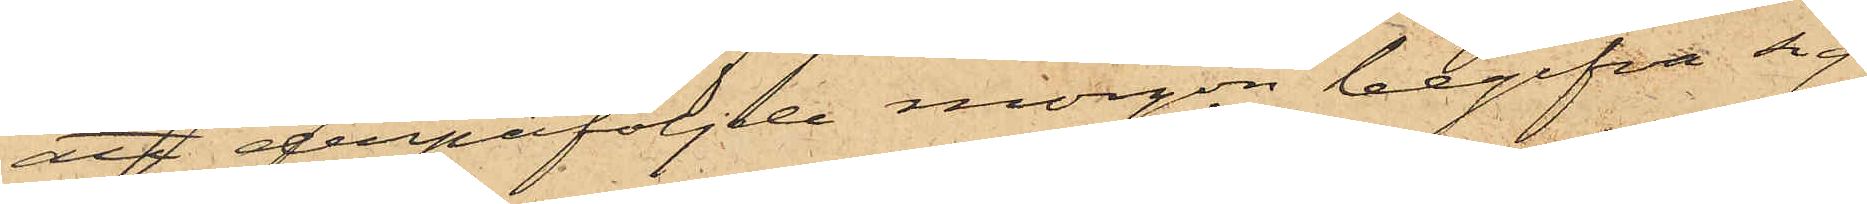att derpåföljde morgon begifva sig
